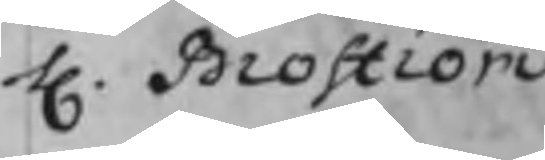H. Broström
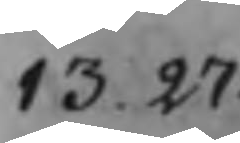13.27
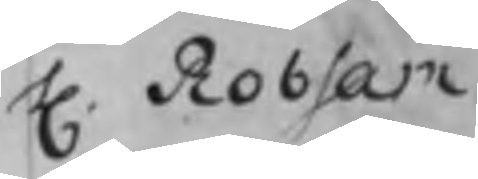H. Robsam
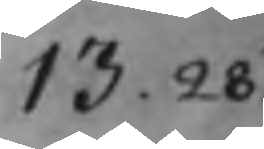13.28
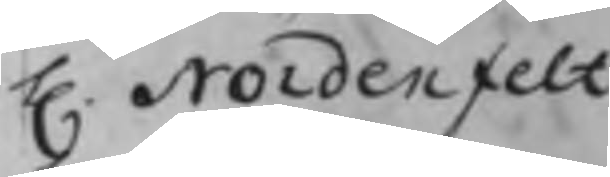H. Nordenfelt
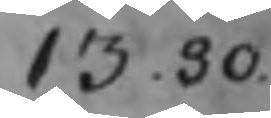13.30
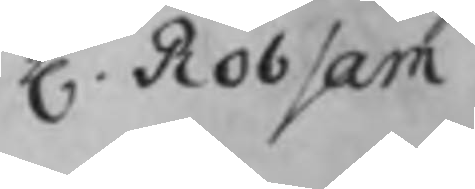H. Robsam
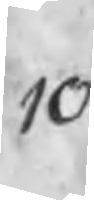10
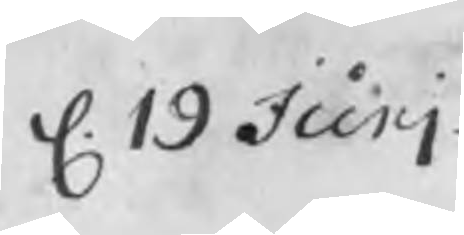d. 19 Junj
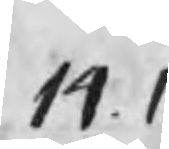14.1
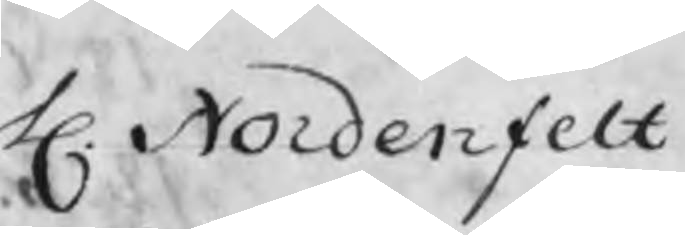H. Nordenfelt
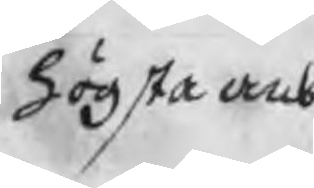högsta anb.
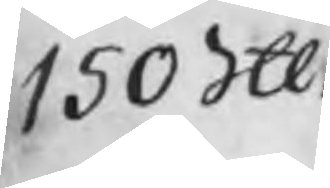150 Skl
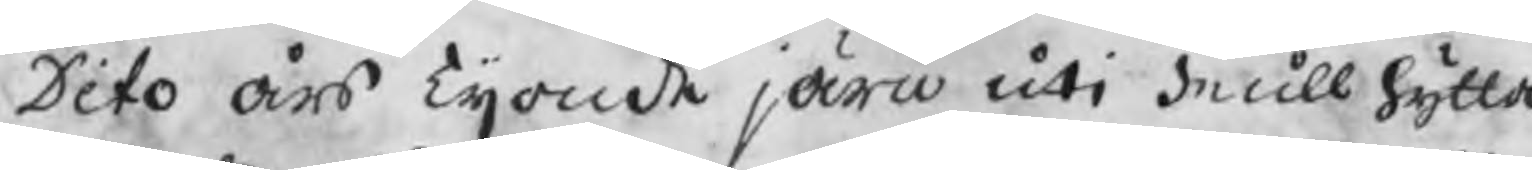Dito års Tijonde järn uti Mullhytta
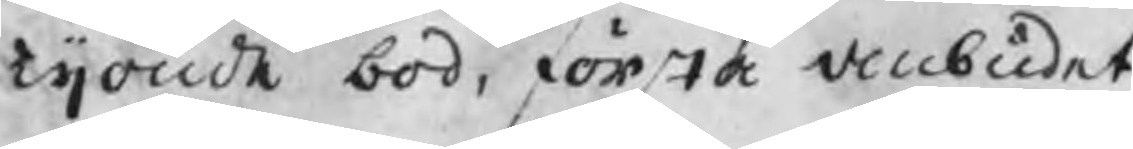tijonde bod, första anbudet
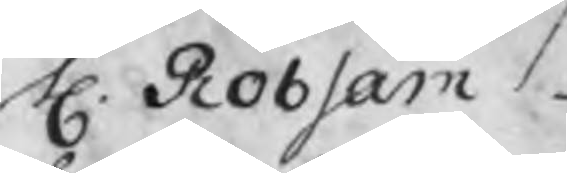H. Robsam
